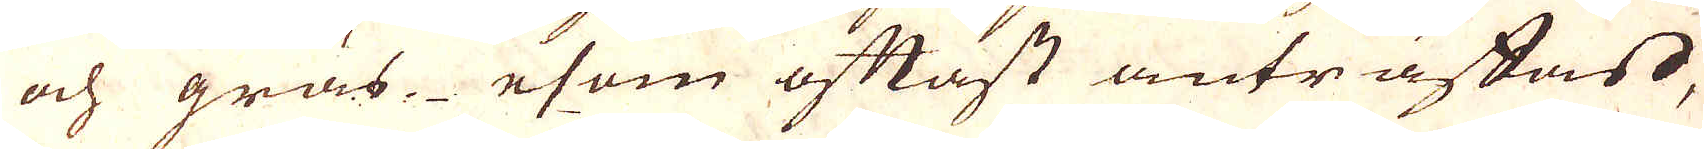och gräs esom oftast anträftas,
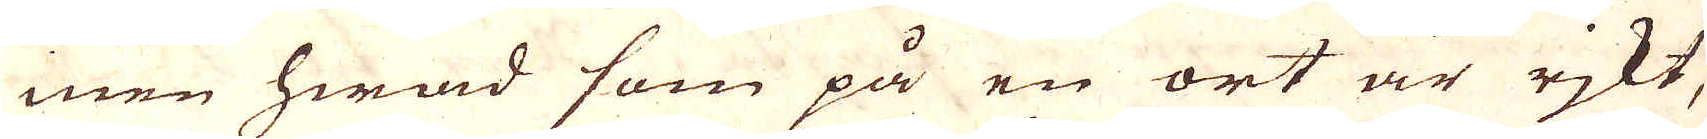men hwad som på en ort är rjkt,
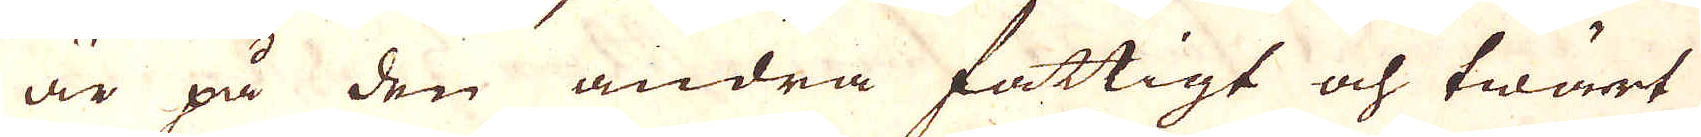är på den andra fattigt och twärt-
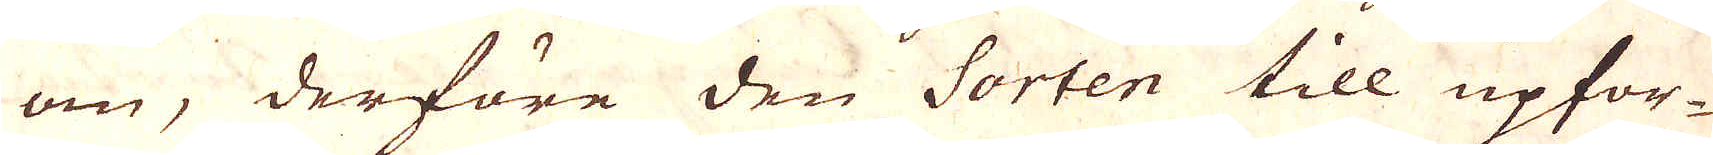om, derföre den Sorten till upfor-
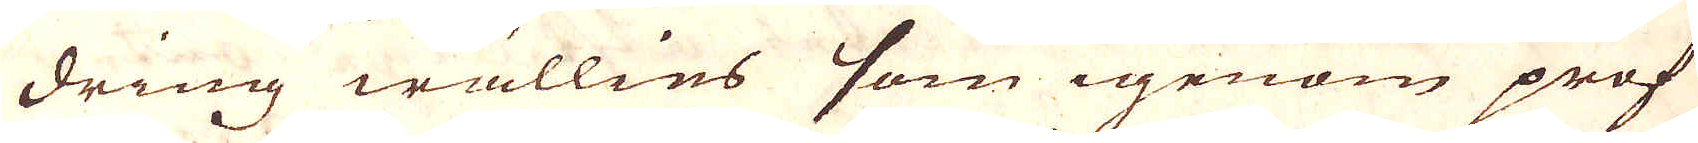dring wällies som igenom prof
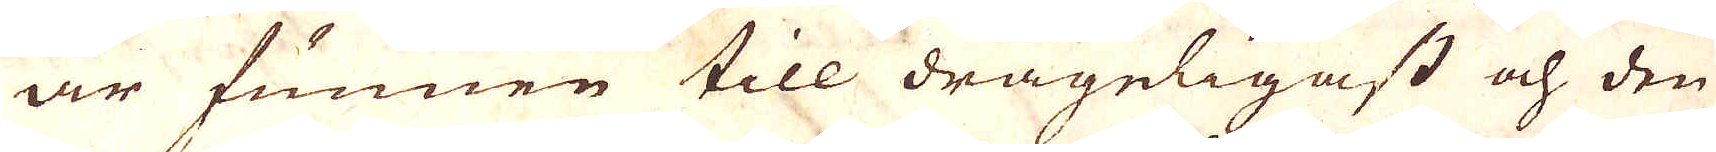är funnen till drägeligast och den
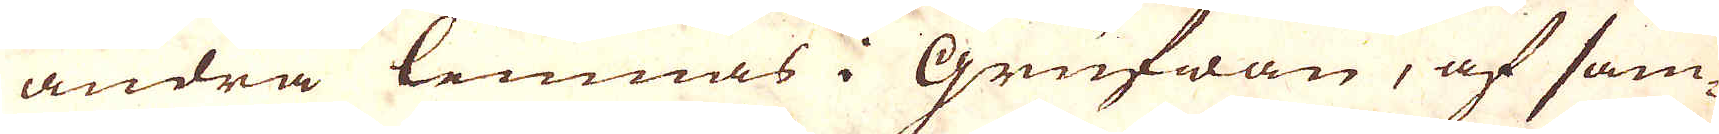andra lemnas i Grufwan, af sam-
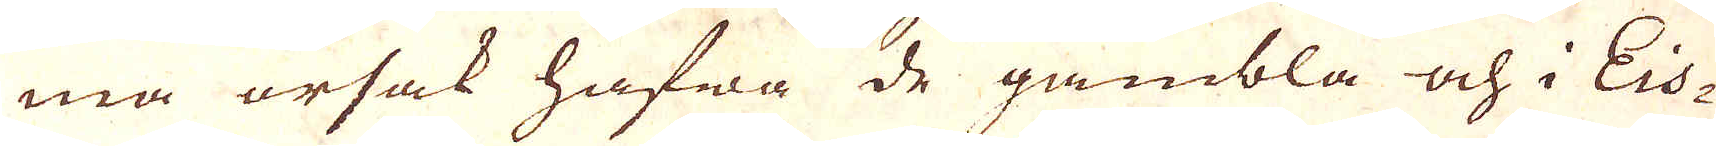ma orsak hafwa de gambla och i Eis-
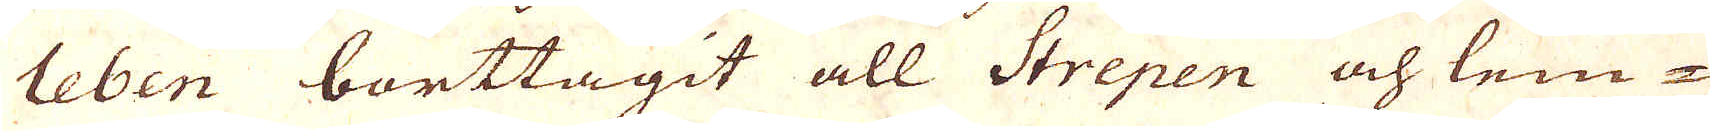leben borttagit all Strepen och lem-
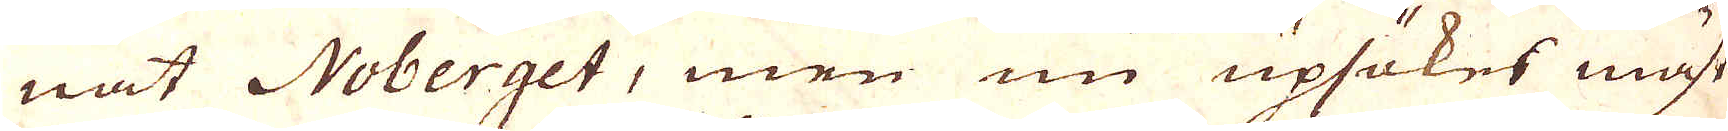nat Noberget, men nu upsökes mäst
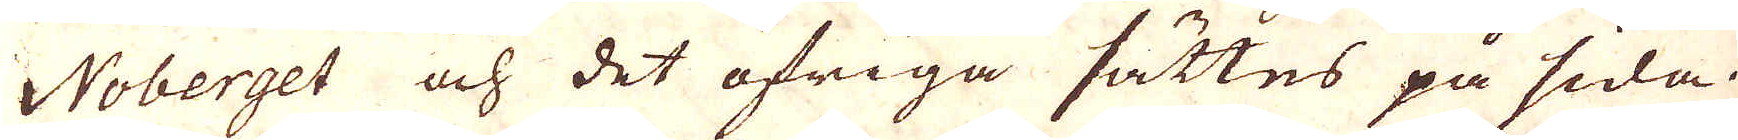Noberget och det öfriga sättes på sida.
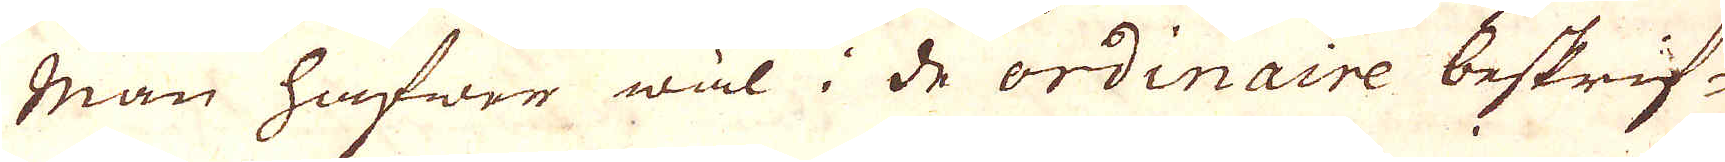Man hafwe wäl i de ordinaire bestrif-
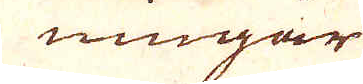ningar
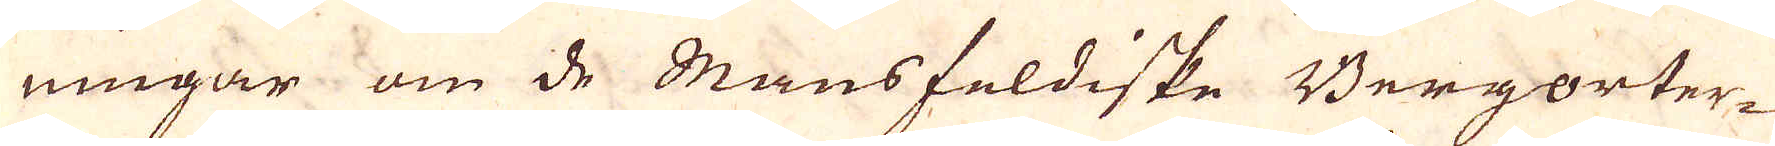ningar om de Mansfeldiske Bergorter-
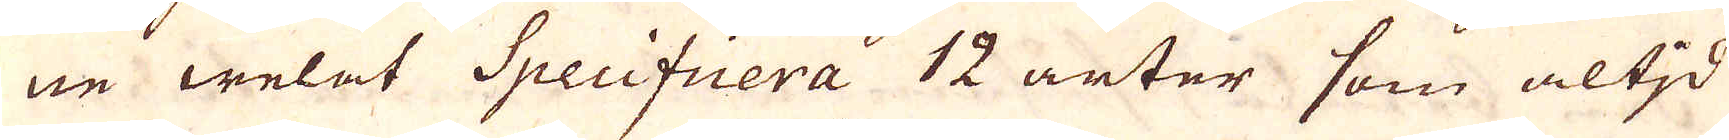ne welat Specifiera 12 arter som altid
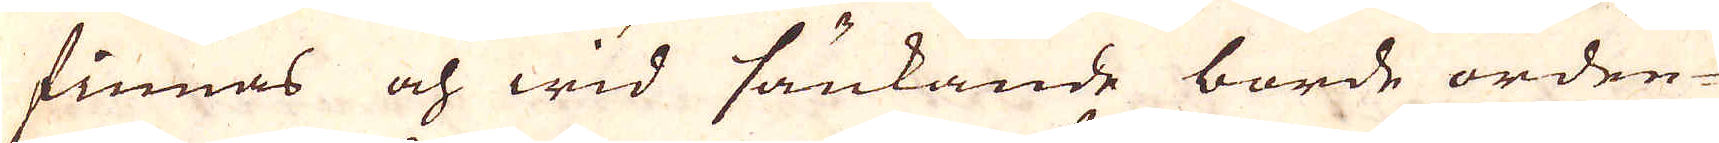finnas och wid sänkande borde orden-
